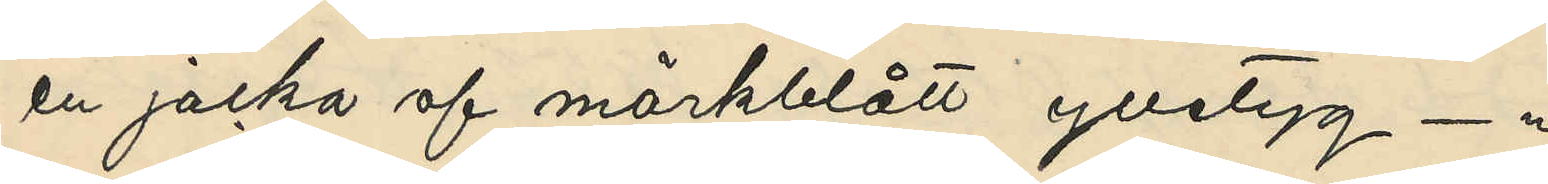en jacka af mörkblått ylletyg - "
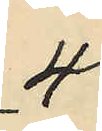4
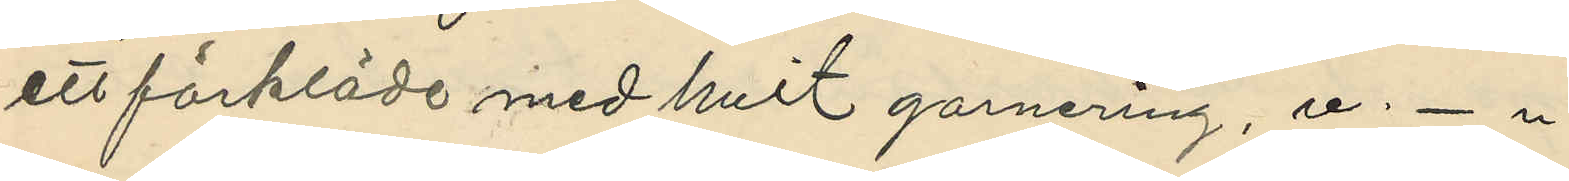ett förkläde med hvit garnering, v - "
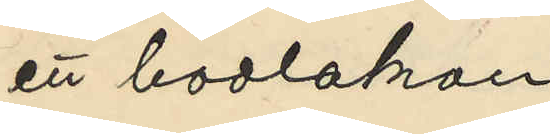ett badlakan
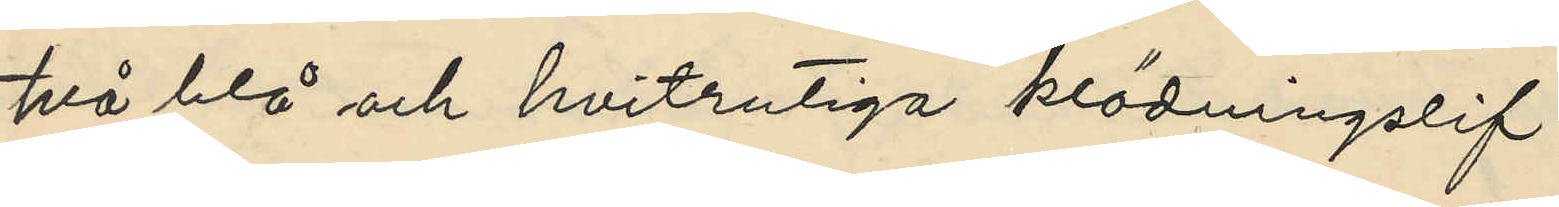två blå och hvitrutiga klädningslif,
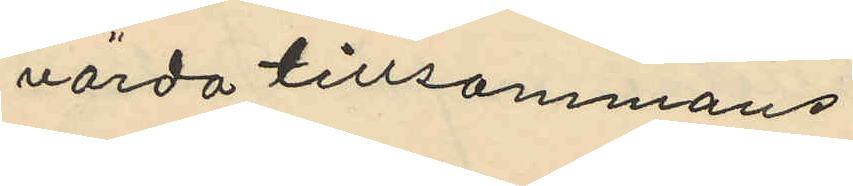värda tillsammans
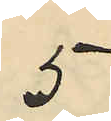5
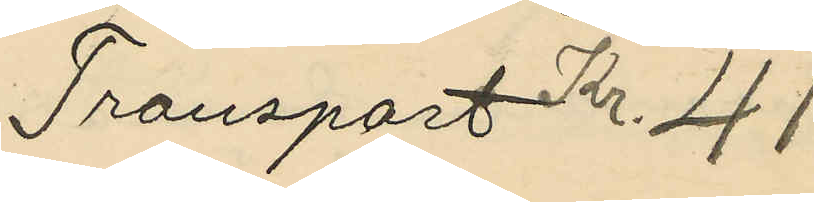Transport Kr. 41
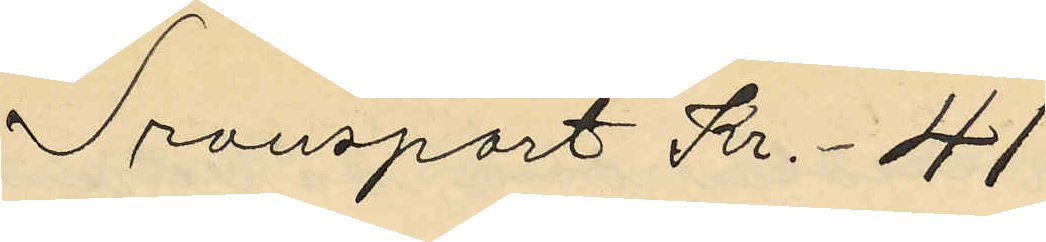Transport Kr. 41
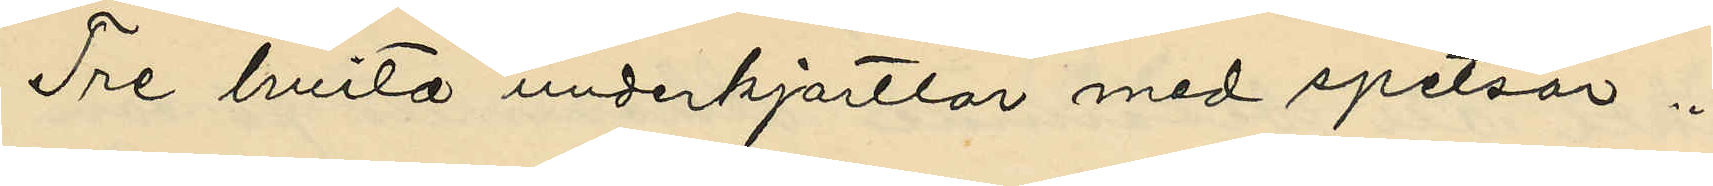Tre hvita underkjortlar med spetsar "
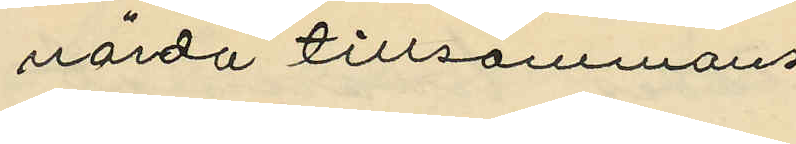värda tillsammans
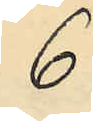6
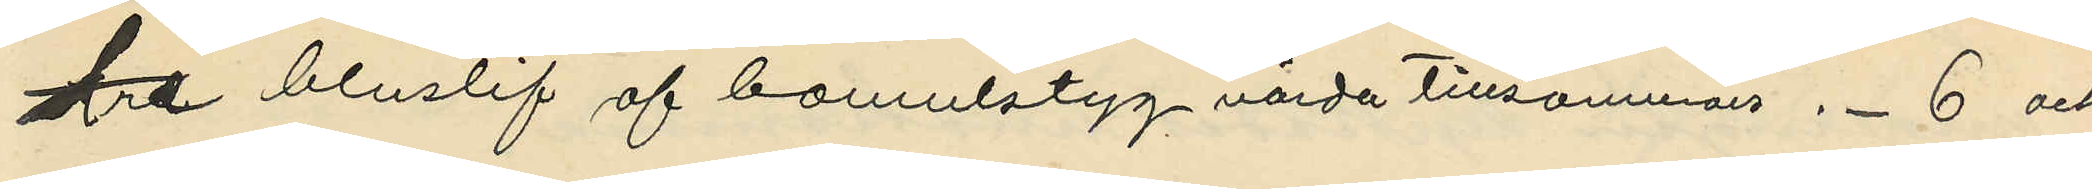tre bluslif af bomulstyg värda tillsamman " - 6 och
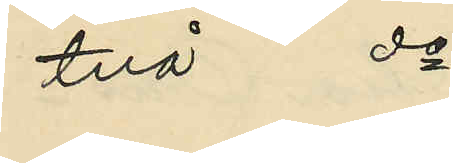två do
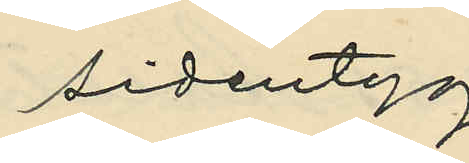sidentyg
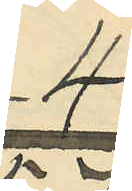4
